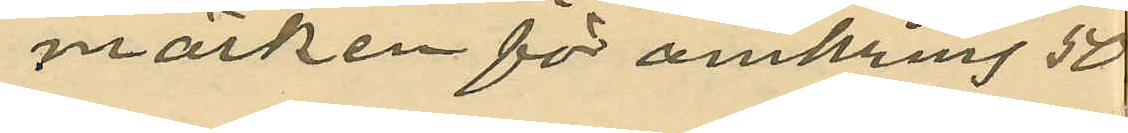märken för omkring 50
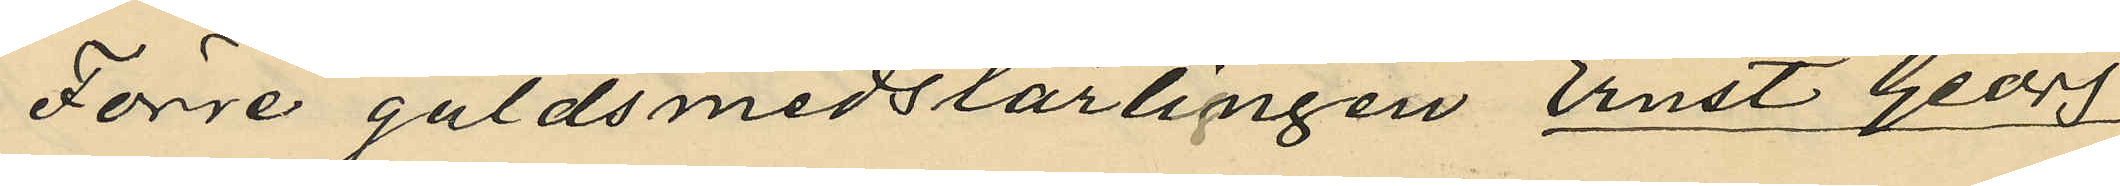Förre guldsmedslärlingen Ernst Georg
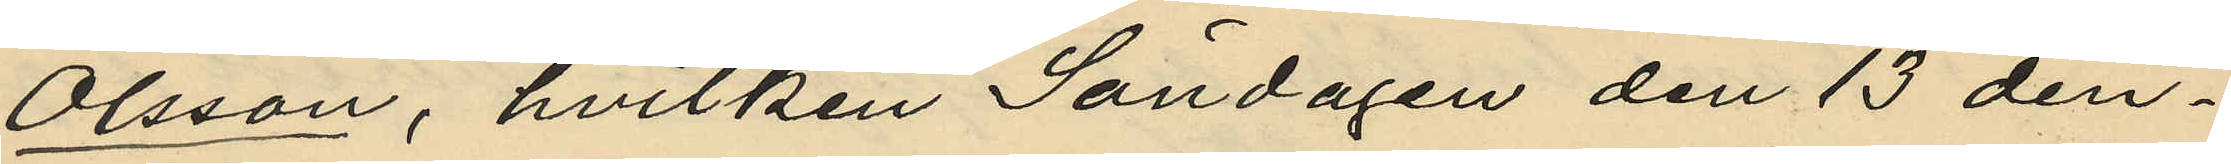Olsson, hvilken Söndagen den 13 den¬
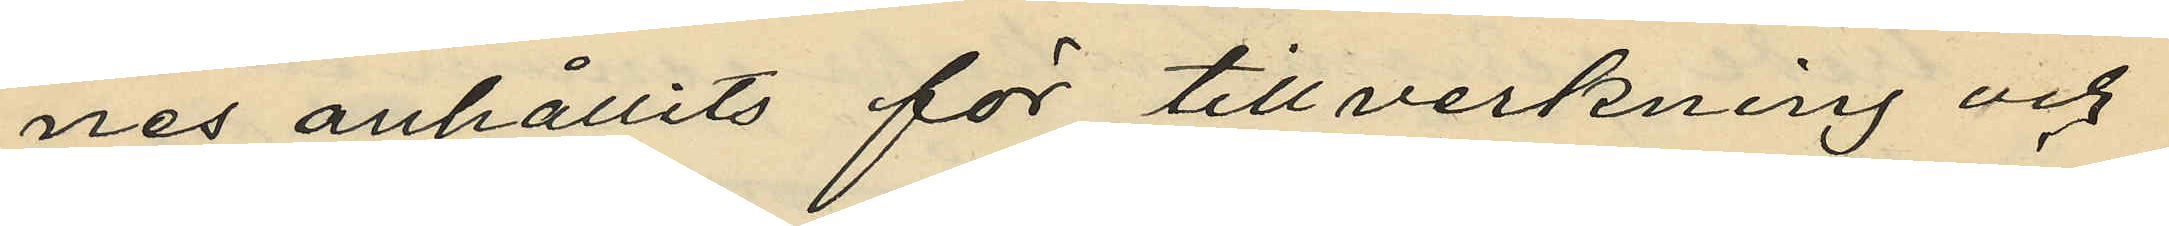nes anhållits för tillverkning och
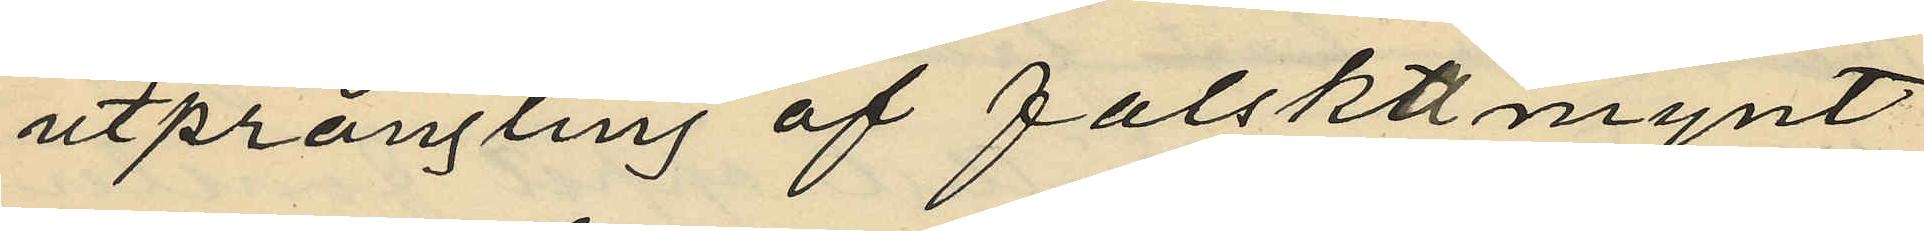utprångling af falskt mynt
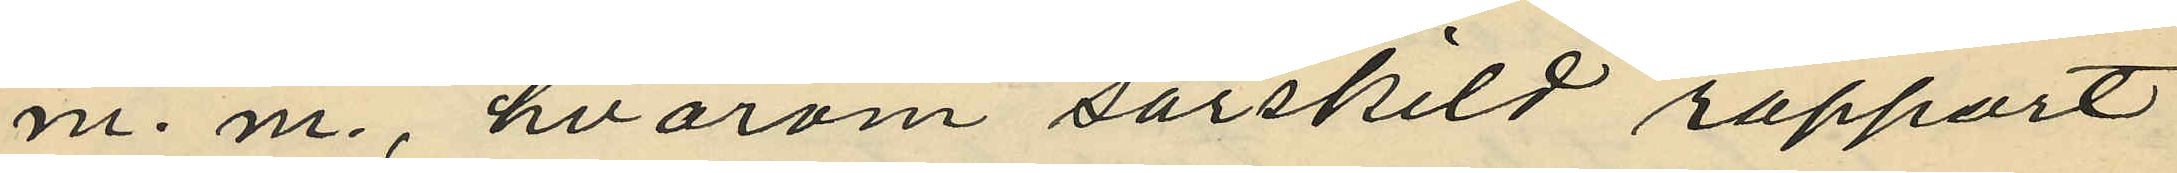m. m., hvarom särskild rapport
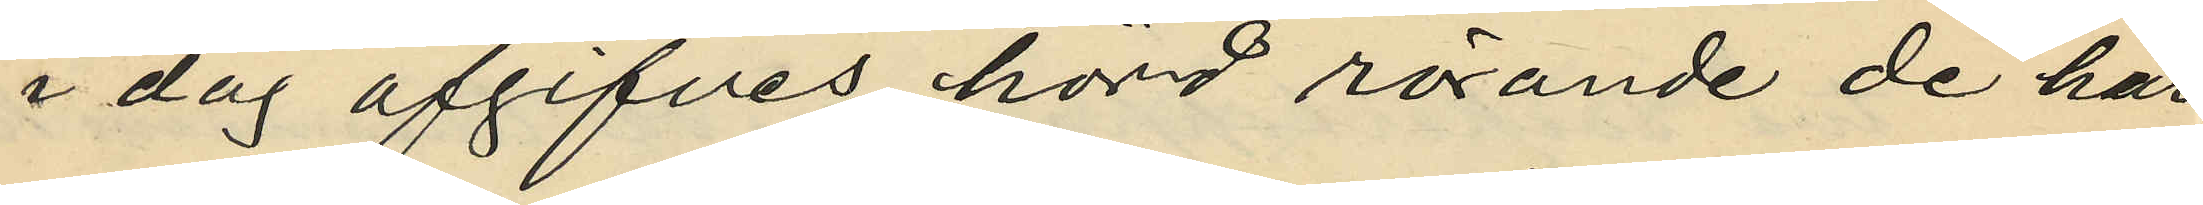i dag afgifves, hörd rörande de här
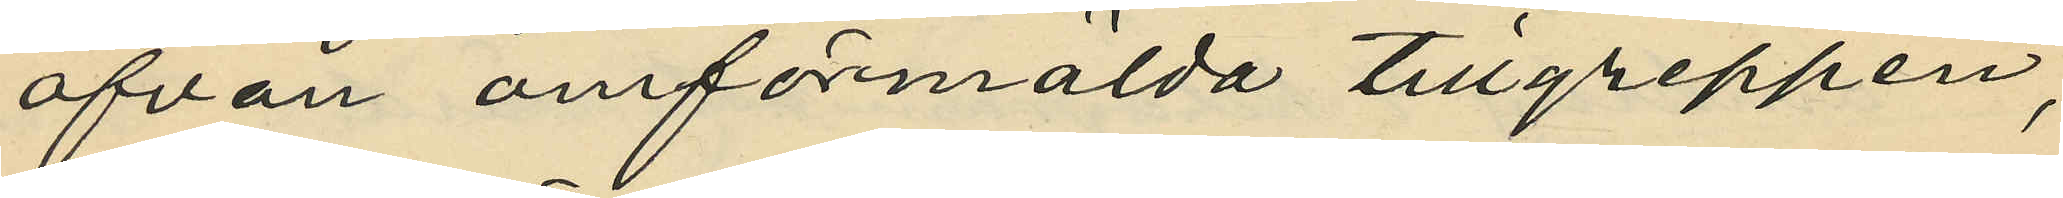ofvan omförmälda tillgreppen,
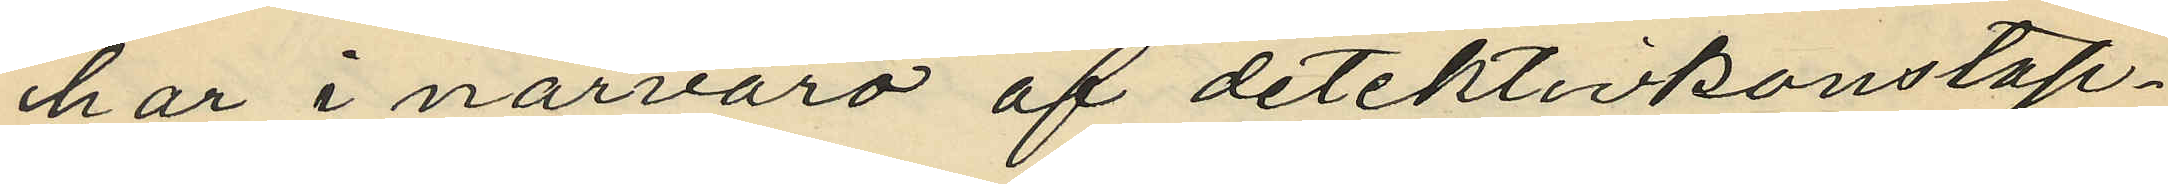har, i närvaro af detektivkonstap¬
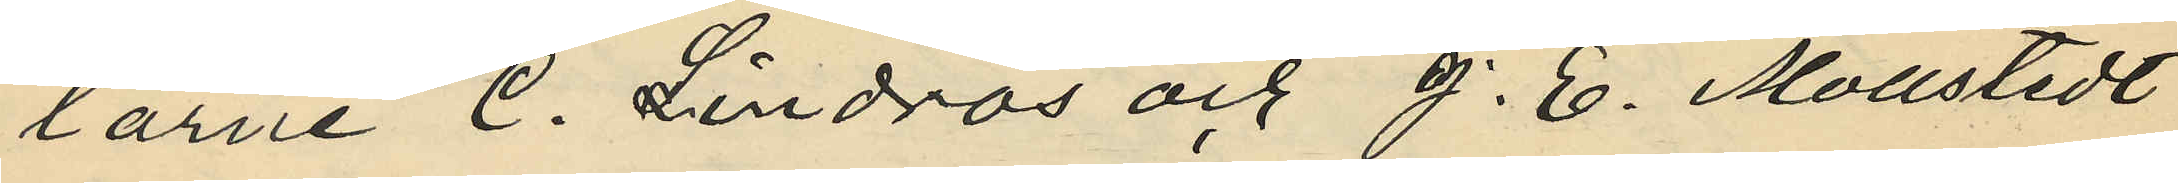larne C. Lindros och J. E. Mollstedt
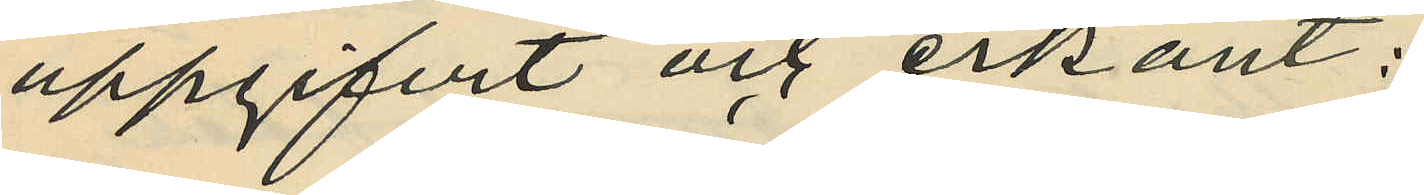uppgifvit och erkänt:
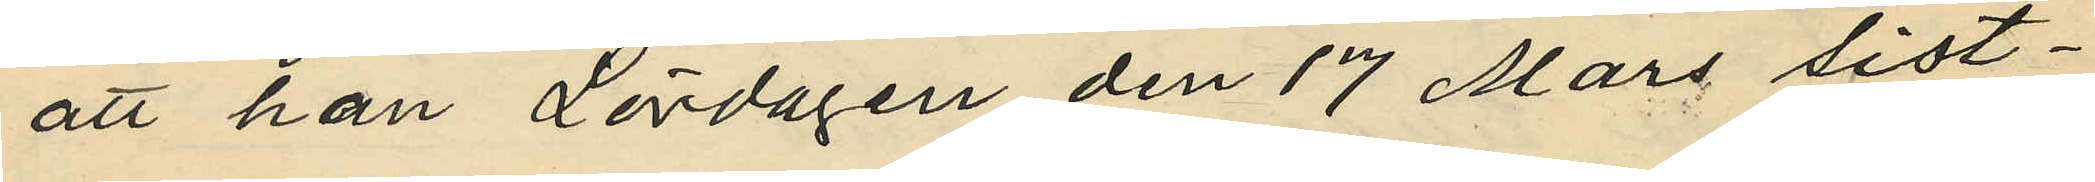att han Lördagen den 17 Mars sist¬
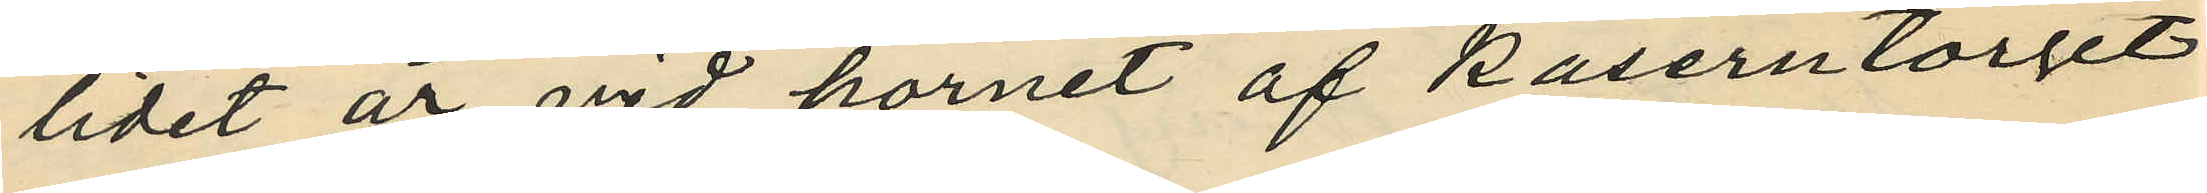lidet år vid hörnet af Kaserntorget
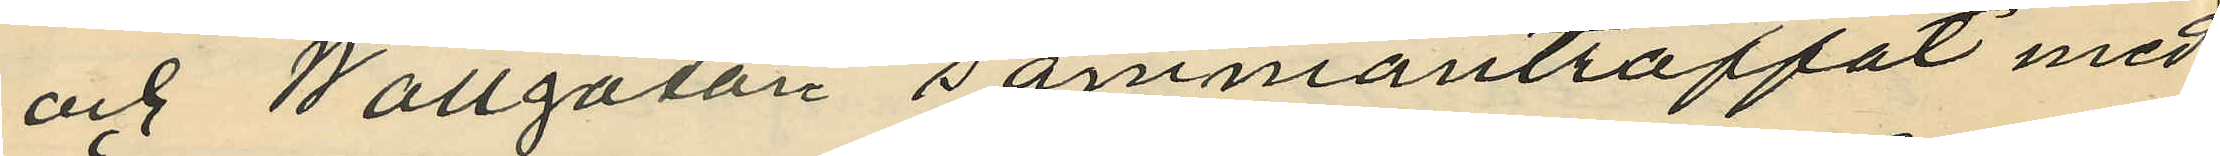och Wallgatan sammanträffat med
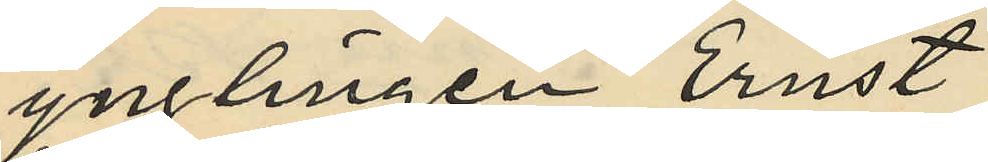ynlingen Ernst
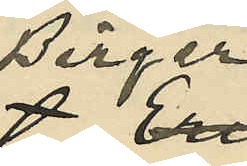Birger
